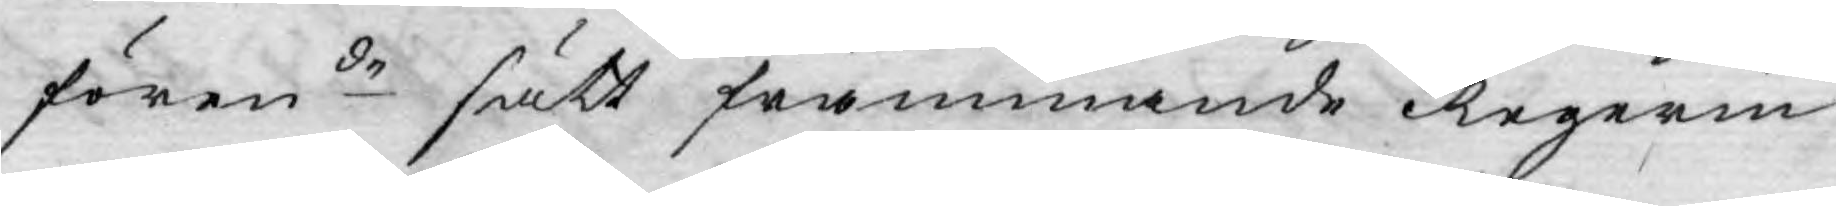förende sätt främmande Regerin¬
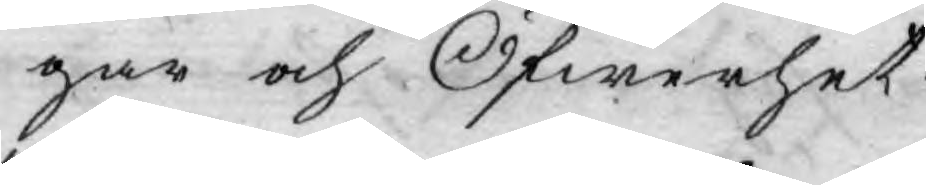gar och Öfwerhet.
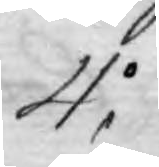4.o
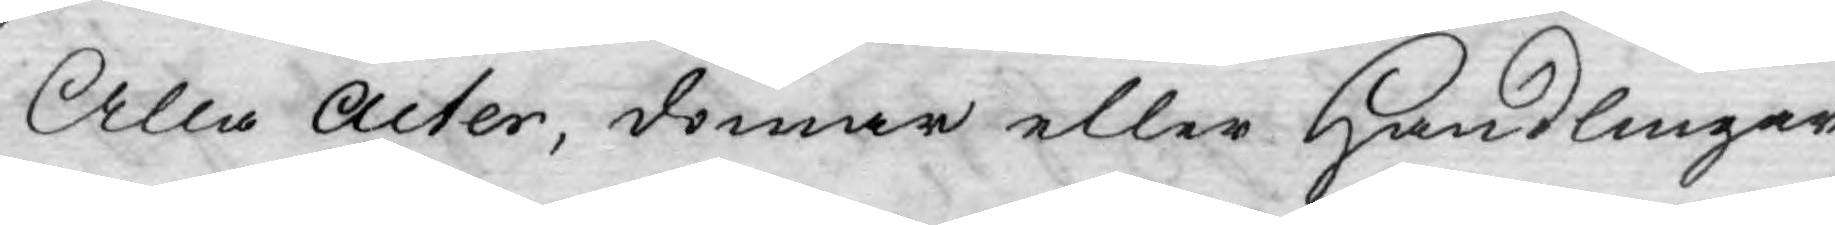Alla Acter, domar eller Handlingar
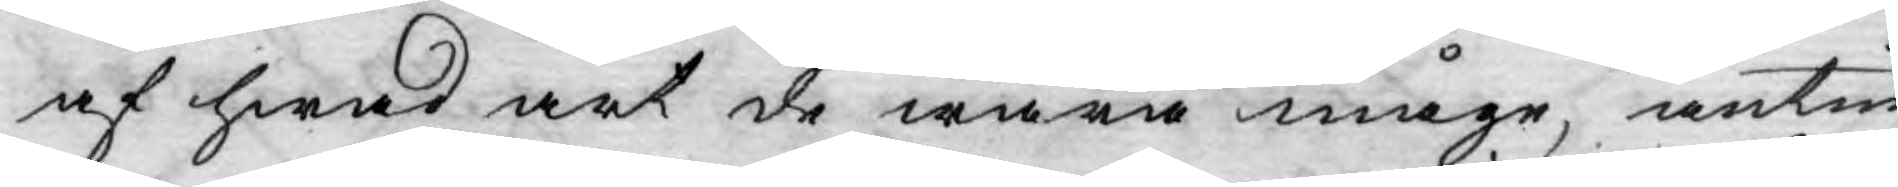af hwad art de wara måge, antin¬
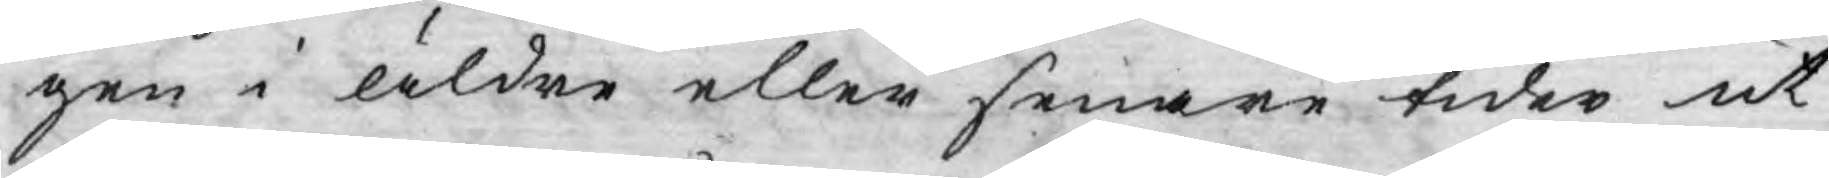gen i äldre eller senare tider ut¬
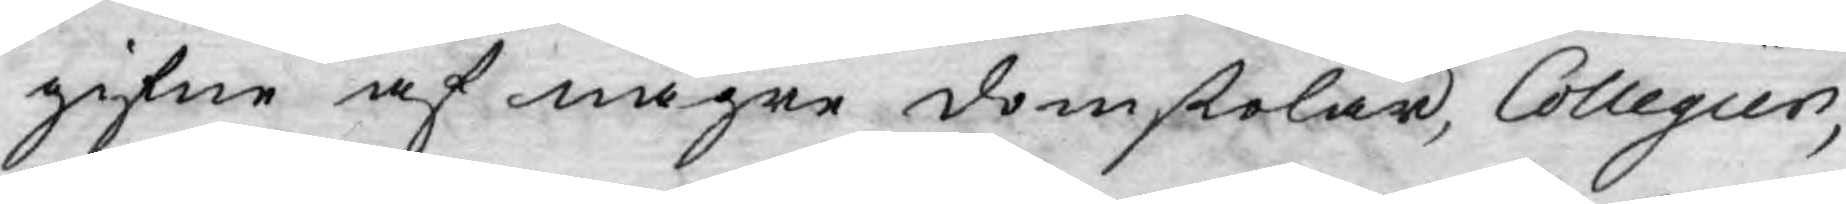gifne af någre domstolar, Collegier,
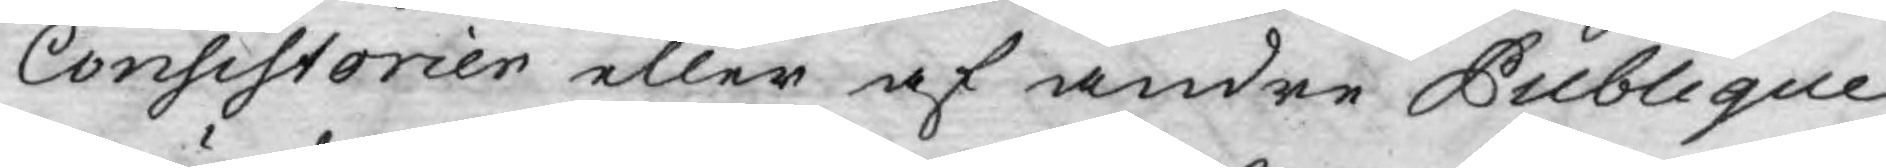Consistorier eller af andre Publique
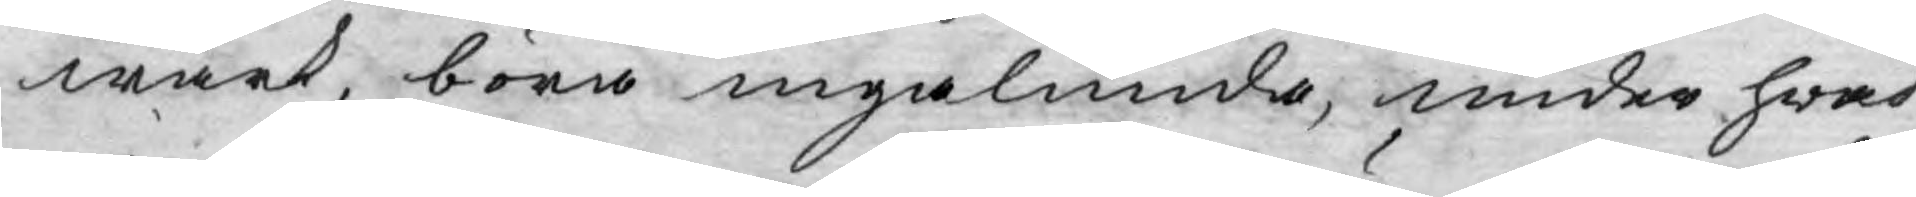wärk, böra ingalunda, under hwad
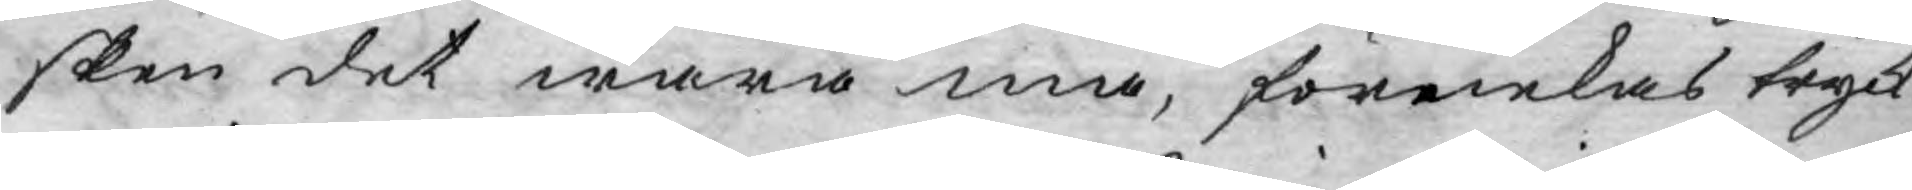sken det wara må, förnekas tryck:
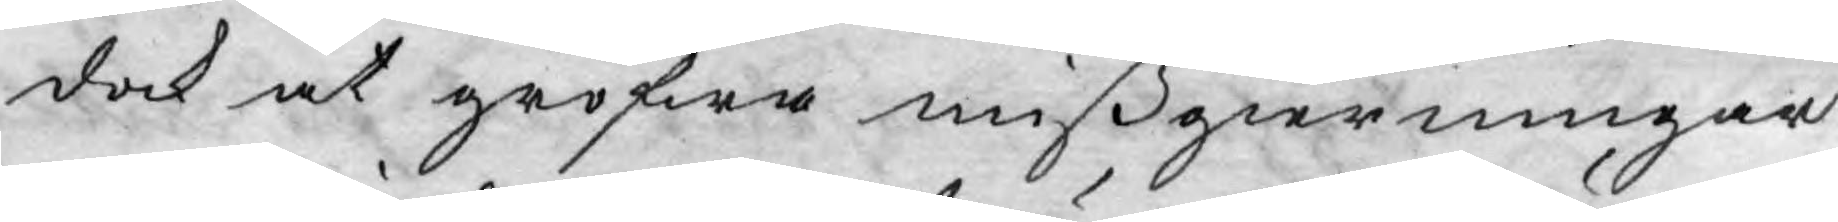dock at grofwa mißgierningar
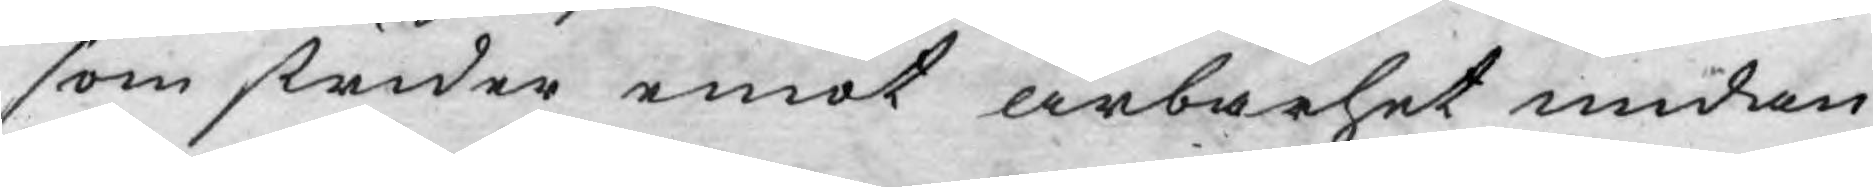som strider emot ärbarhet undan¬
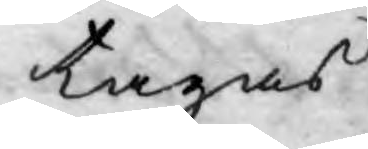tagas.
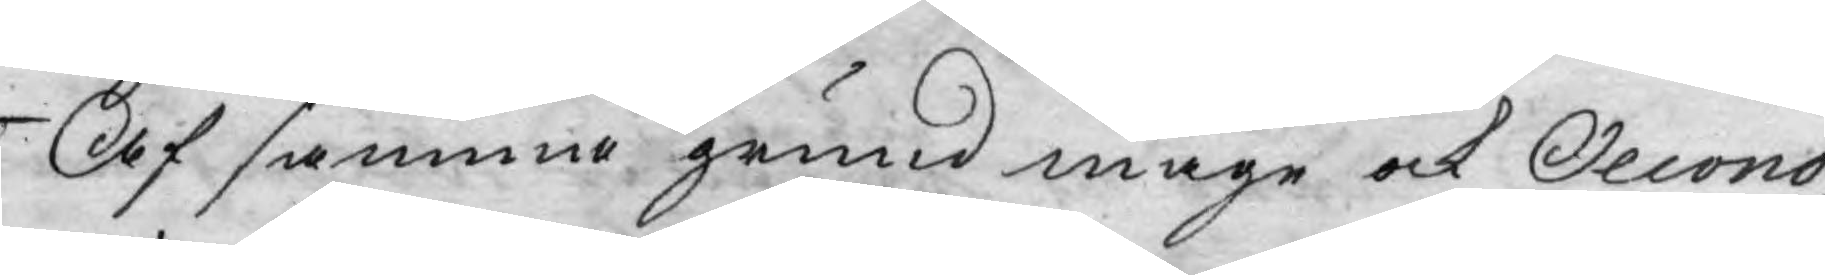Af samma grund måge ock Oecono¬
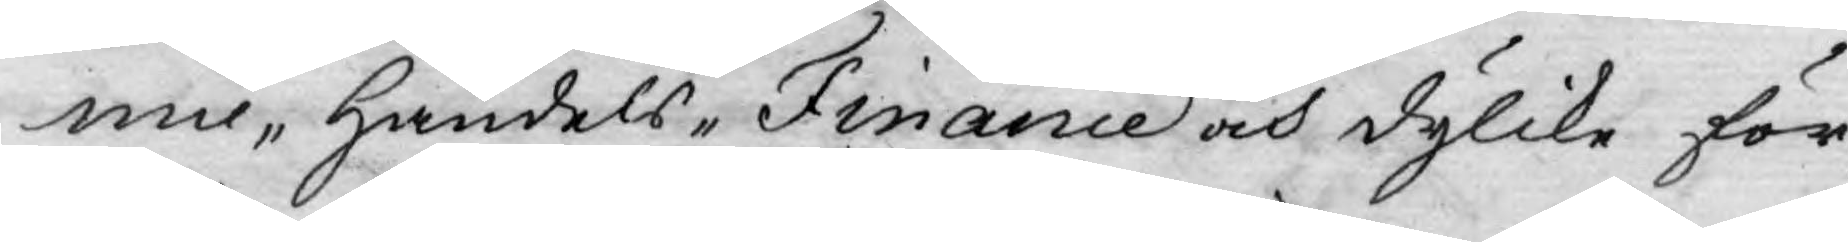mie, Handels, Finance och dylike för¬
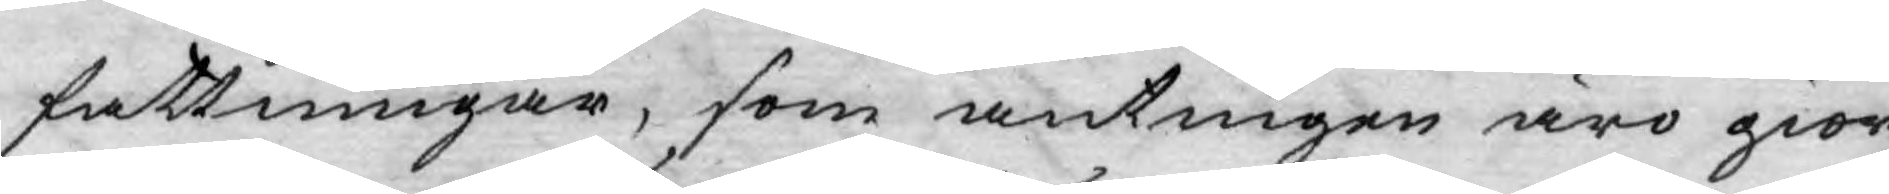fattningar, som antingen äro gior¬
